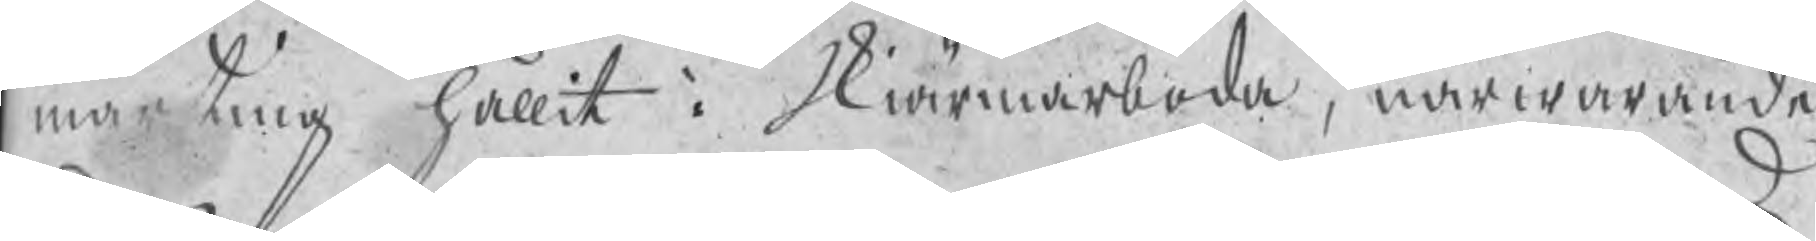marting hållit i Skiärmarboda, närwarande
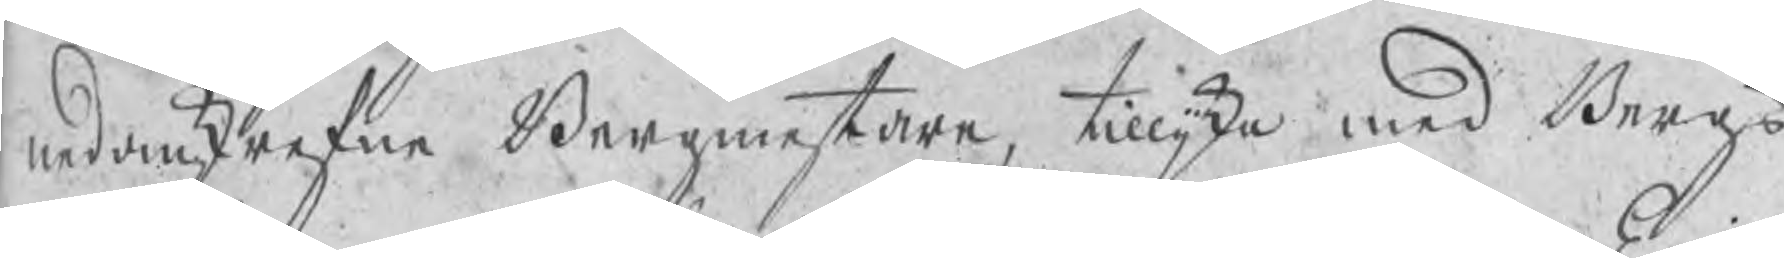nederskrefne Bergmestare, tillijka med Bergs¬
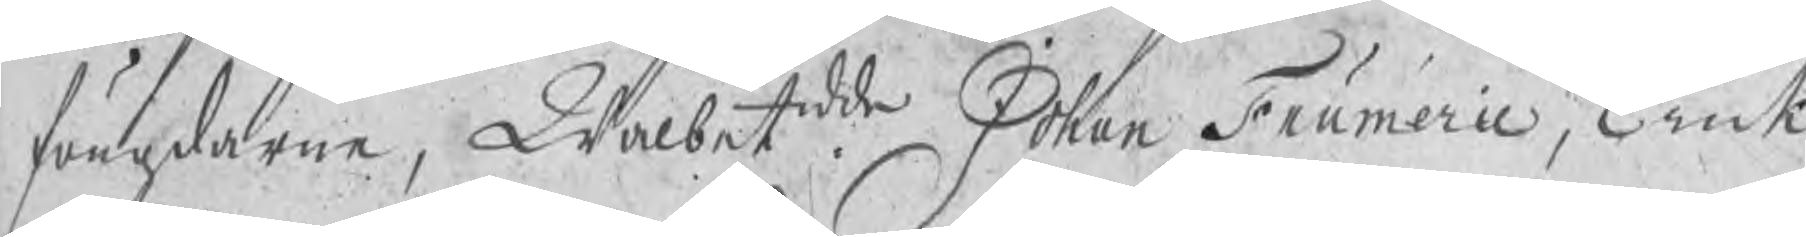fougdarne, Wälbtdde Johan Frumerie, Erick
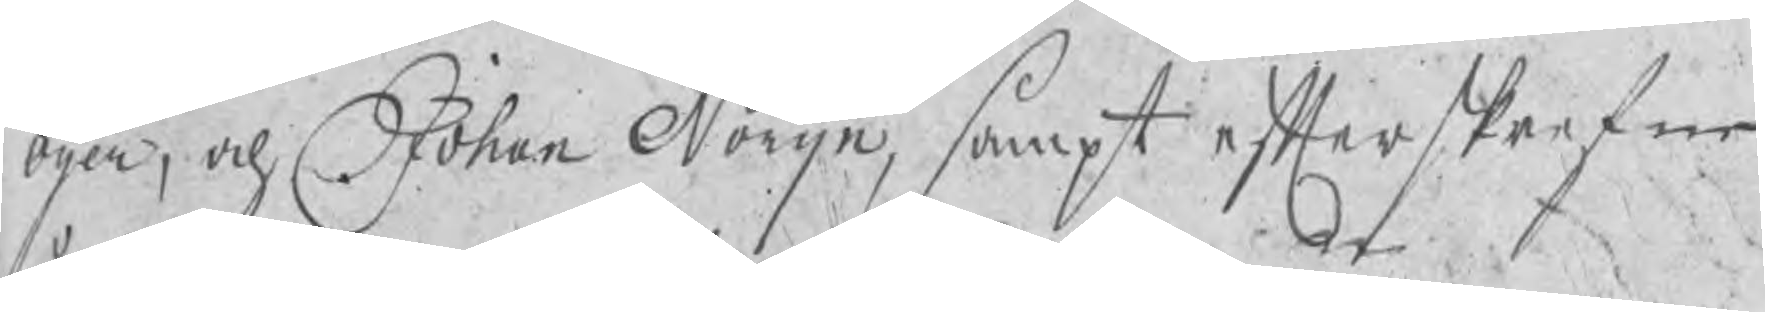Öijer, och Johan Norijn, sampt efterskrefne
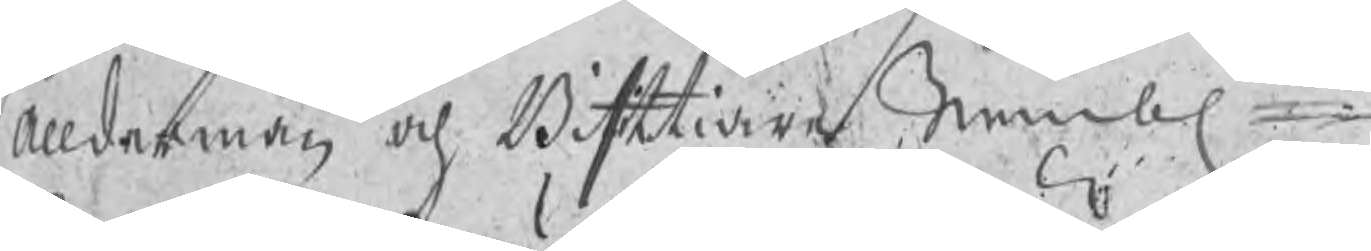Ålldermän  och Bisittiare nembl
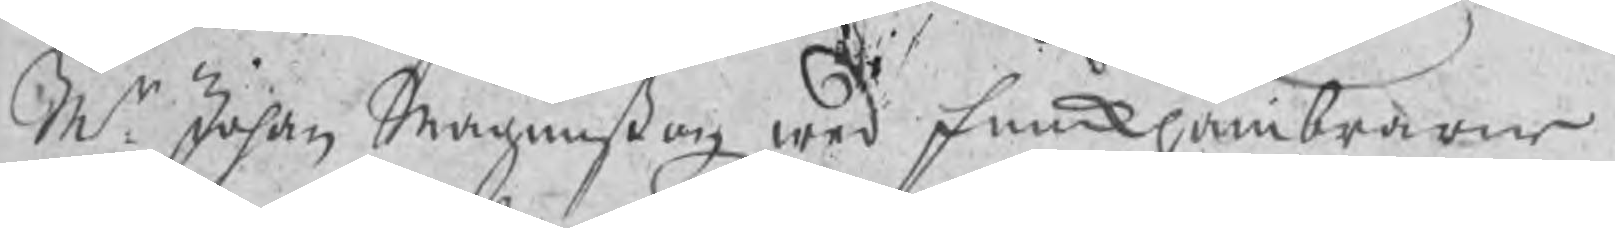Mr Johan Magnußon wed funckhambrarne
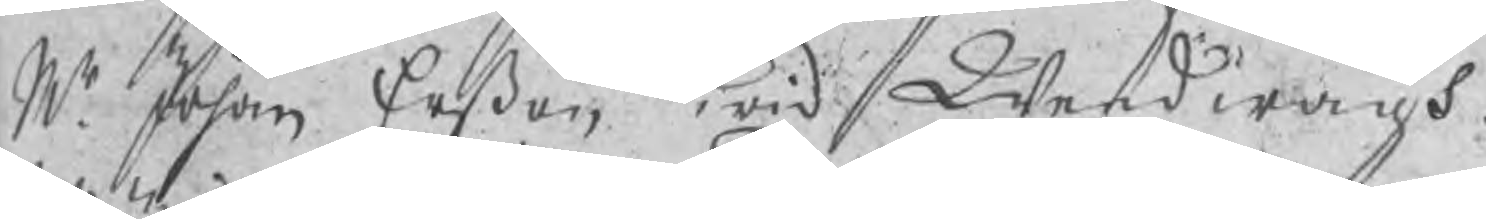Mr Johan Erßon wid Weedwågh
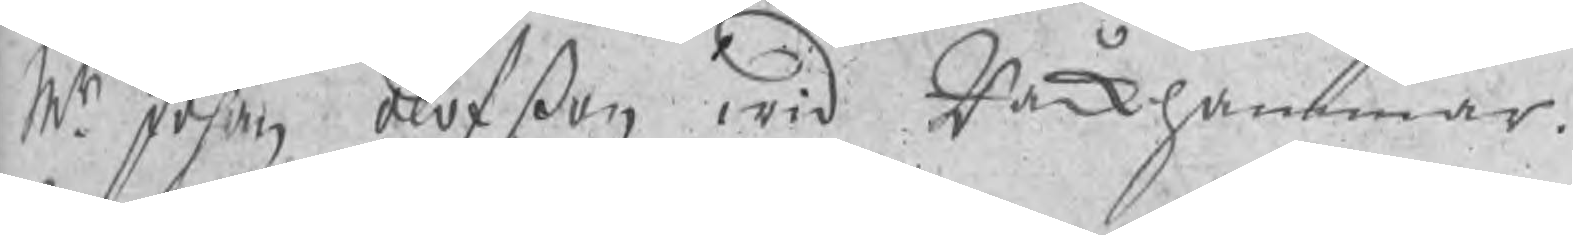Mr Johan Olofßon wid Råckhammar
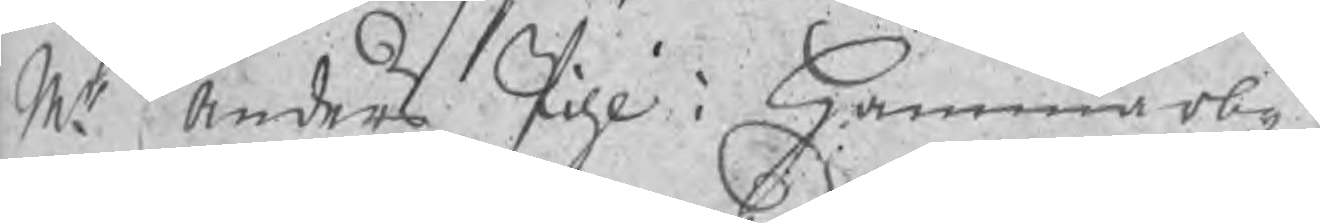Mr Anders Pihl i Hammarby
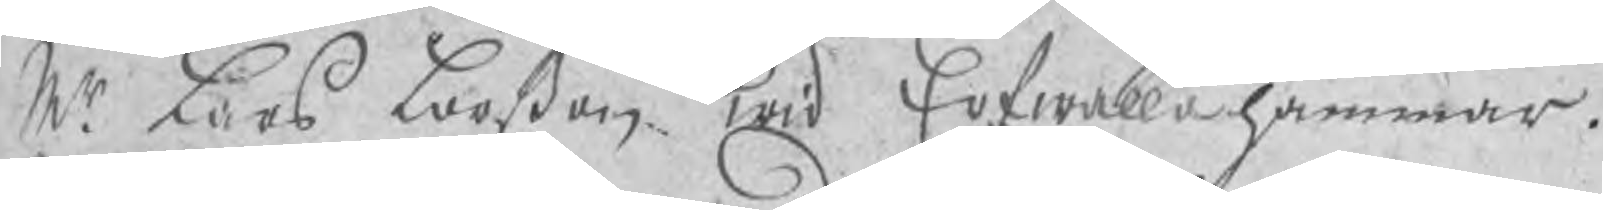Mr Lars Larßon wid Erfwalla hammar
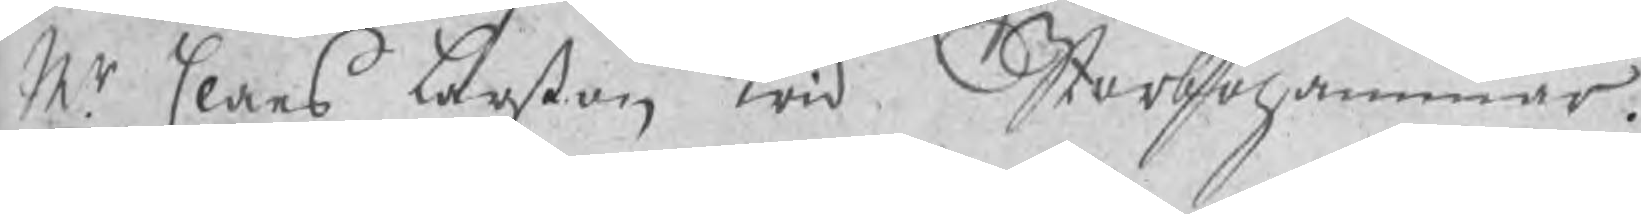Mr Claes Larßon wid Storbohammar
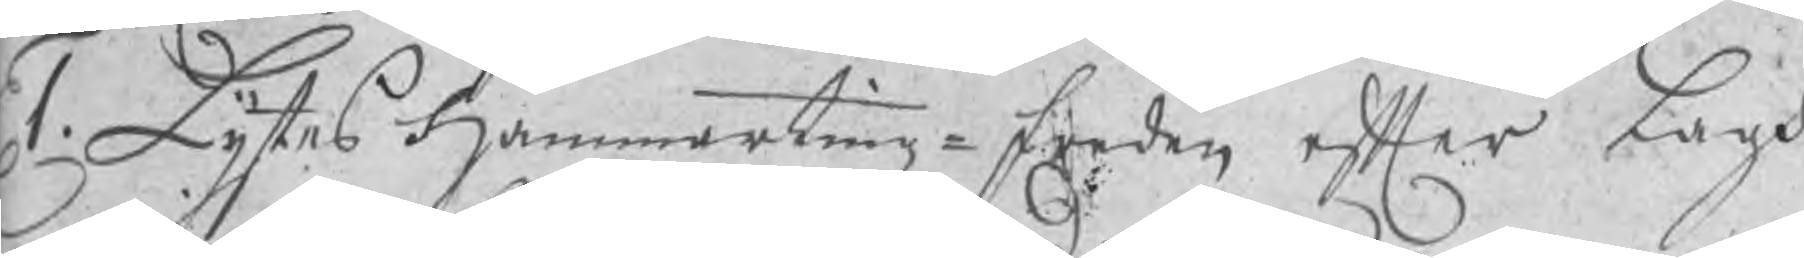1. Lystes Hammartingz-freden efter Lags
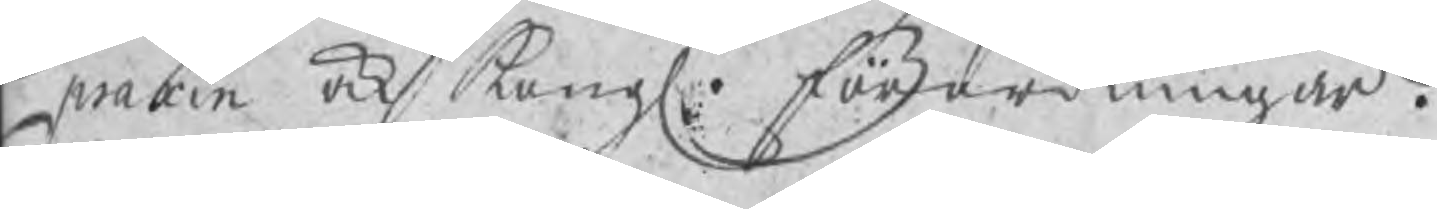praxin ock Kongl. förordningar.
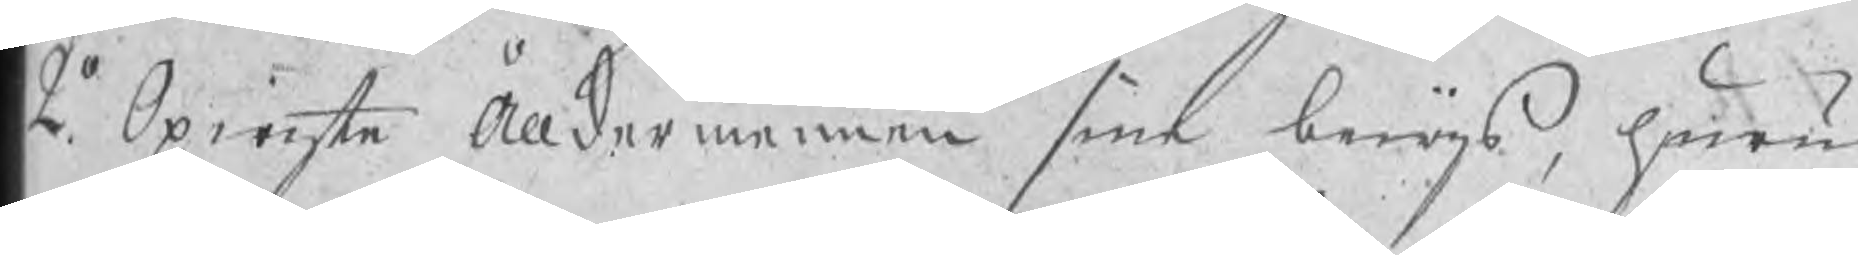2o. Opwiste Ålldermännen sine bewijs, huru
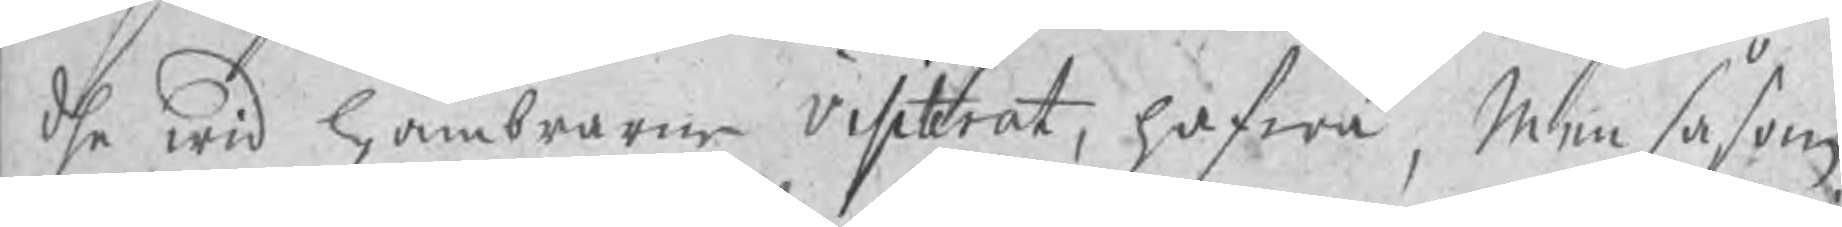dhe wid hambrarne visiterat, hafwa, Men såsom
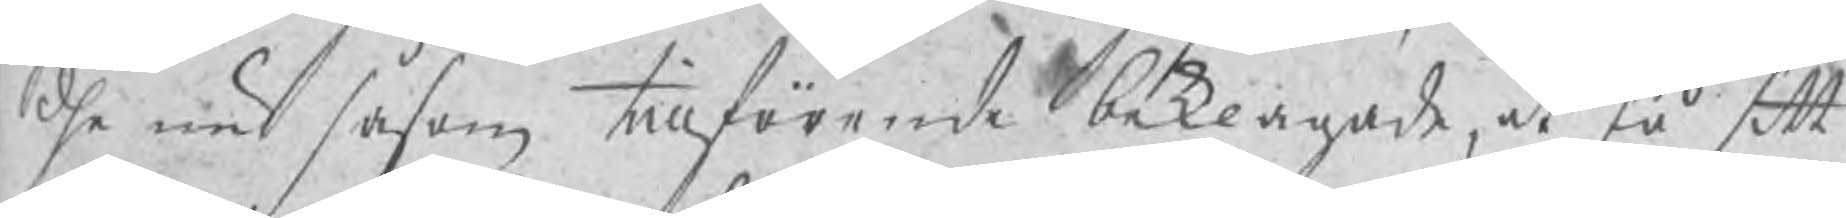dhe nu såsom tillförende beklagade, at så sitt
